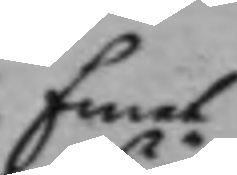Emot
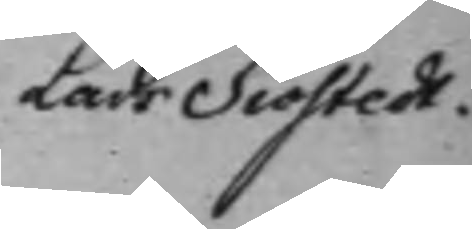Lars Siöstedt.
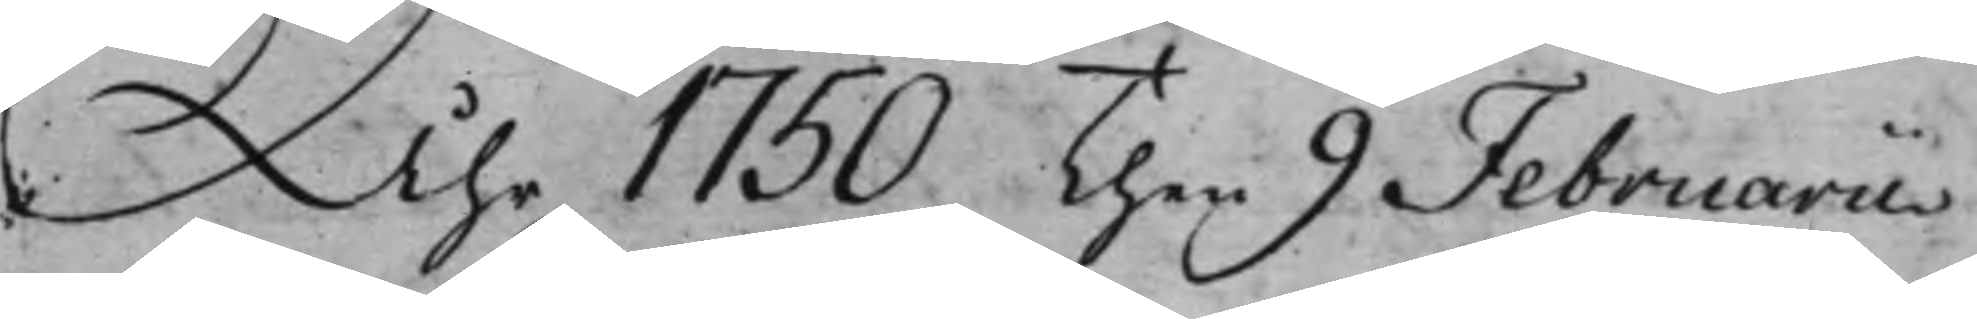Åhr 1750 Then 9 Februarii
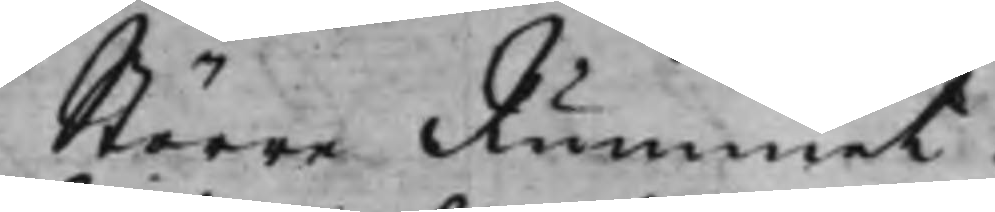Större Rummet.
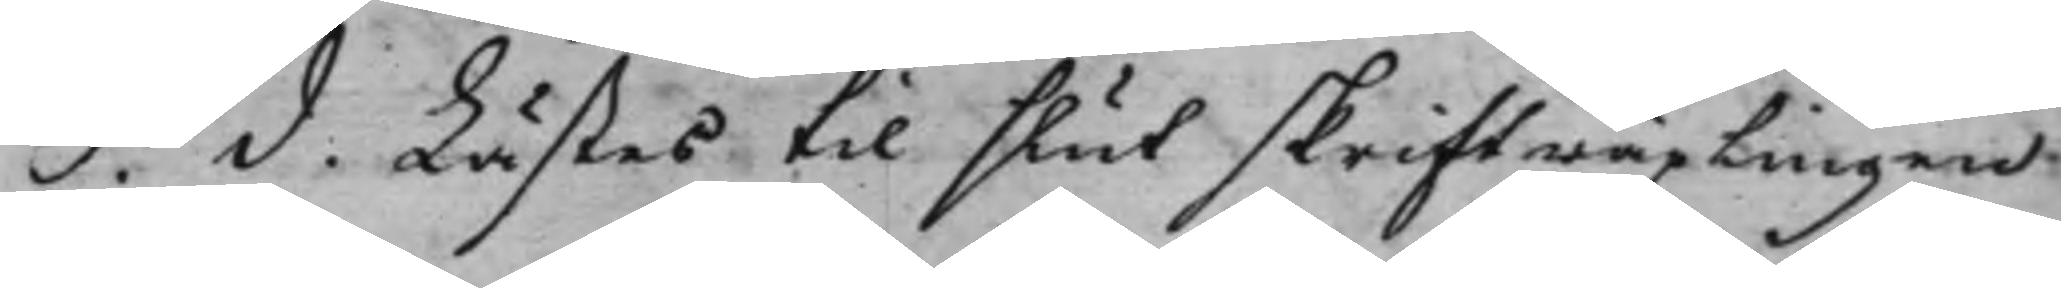S. d. Lästes til slut skriftwäxligen
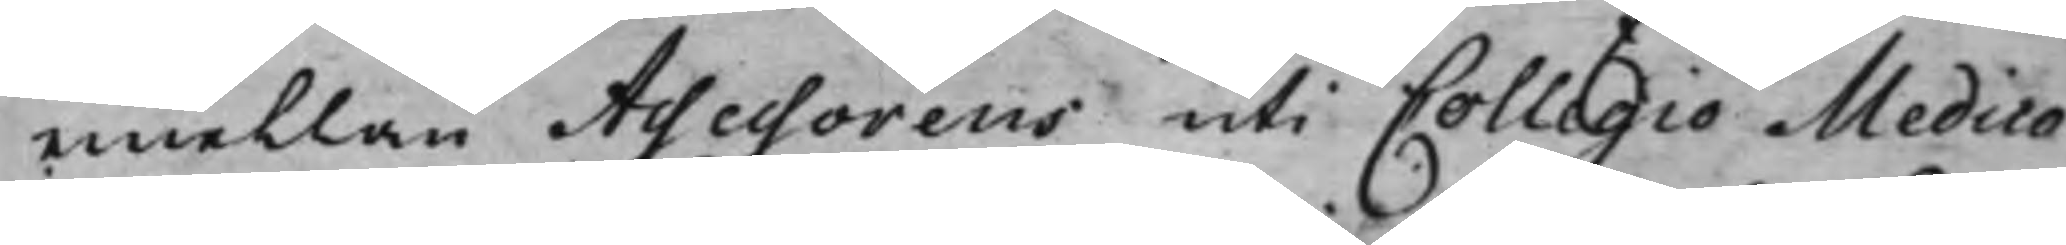emellan Assessorens uti Collegio Medico
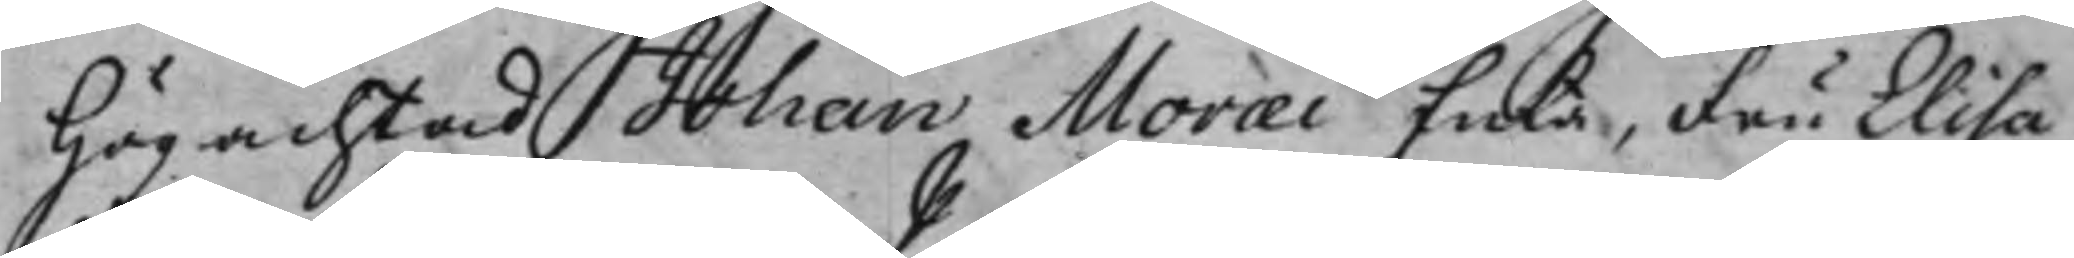Högachtad Johan Moræi Enka. Fru Elisa¬
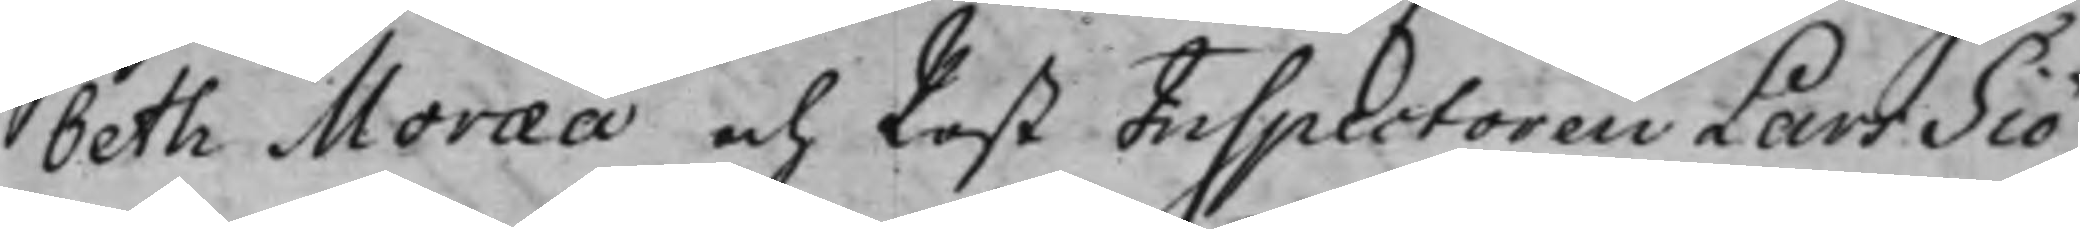beth Moræa och Post Inspectoren Lars Siö¬
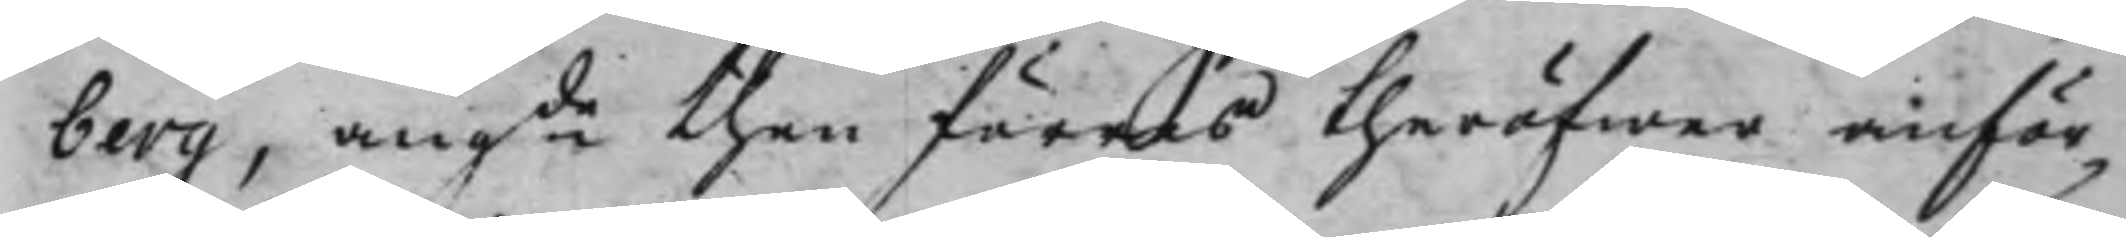berg, angde then föras theröfwer anför¬
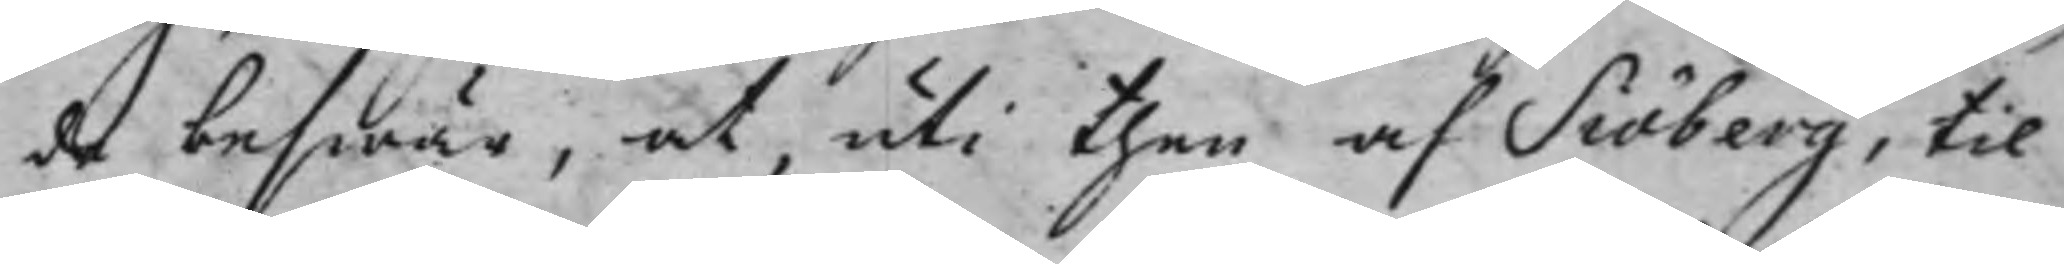de beswär, at, uti then af Siöberg, til
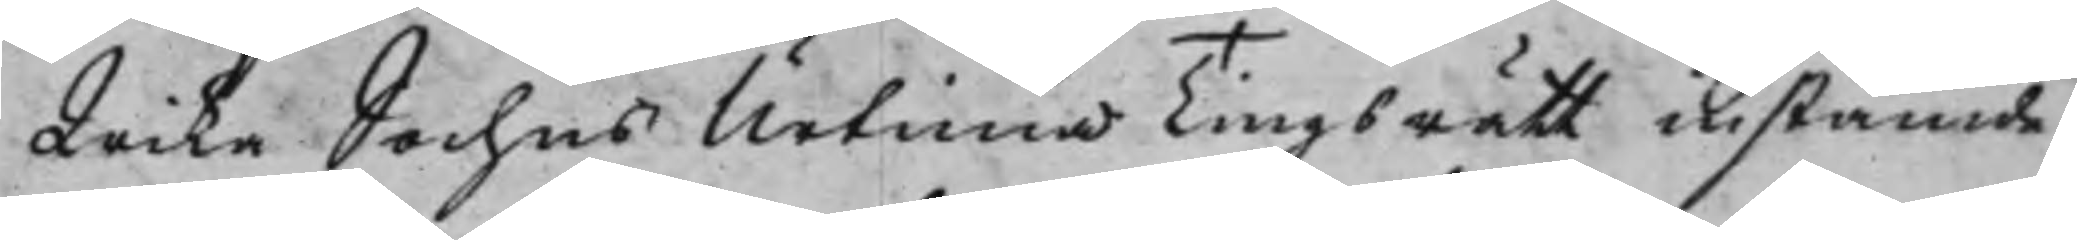Wika Sochns Urtima Tingsrätt instämde
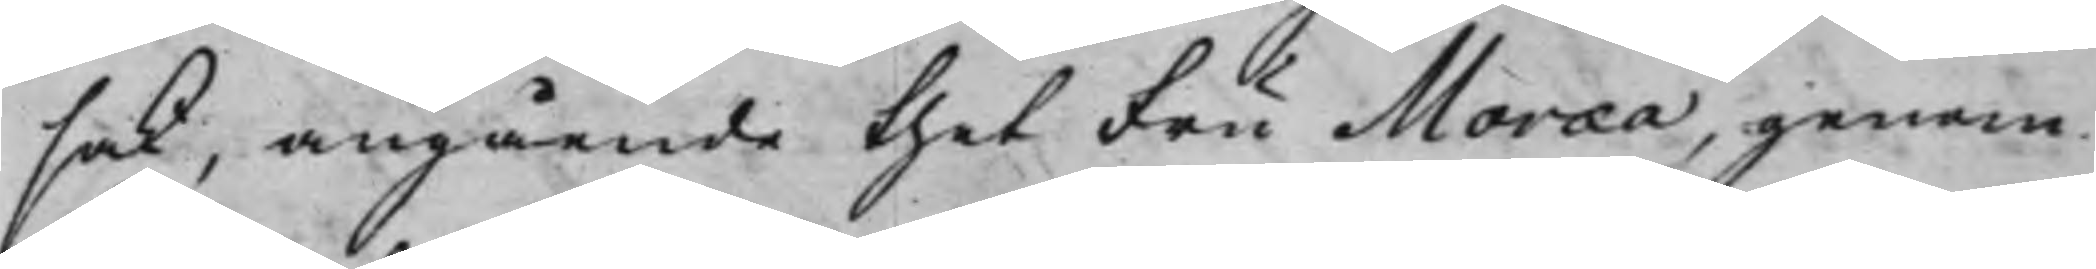sak, angående thet Fru Moræa, genom
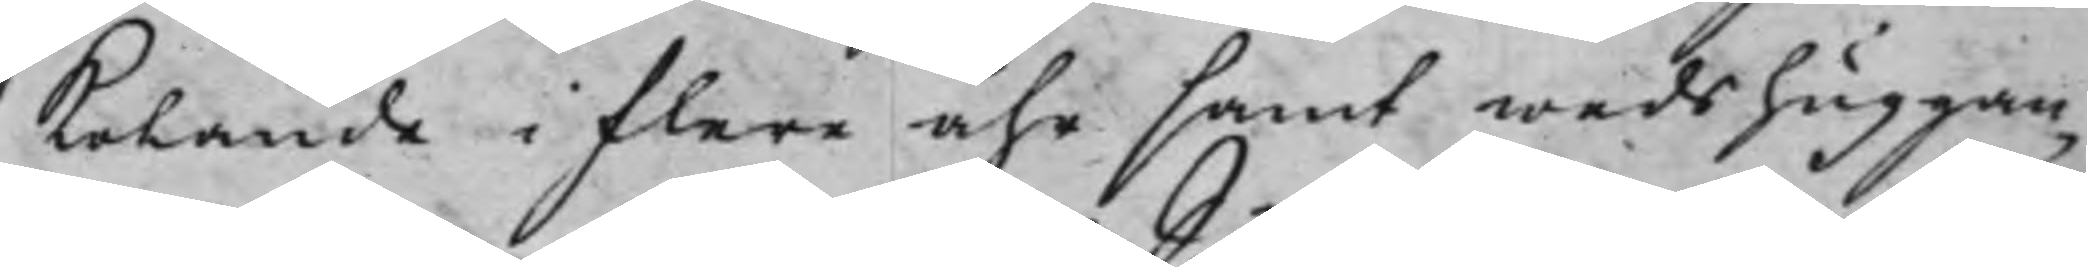kolande i flere åhr samt weds huggan¬
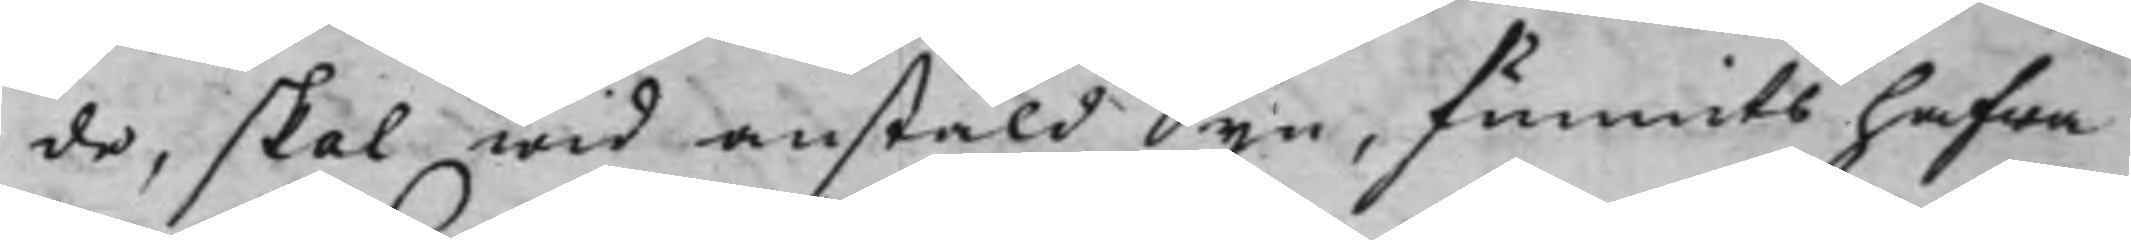de, skal wid anstäld Syn, funnits hafwa
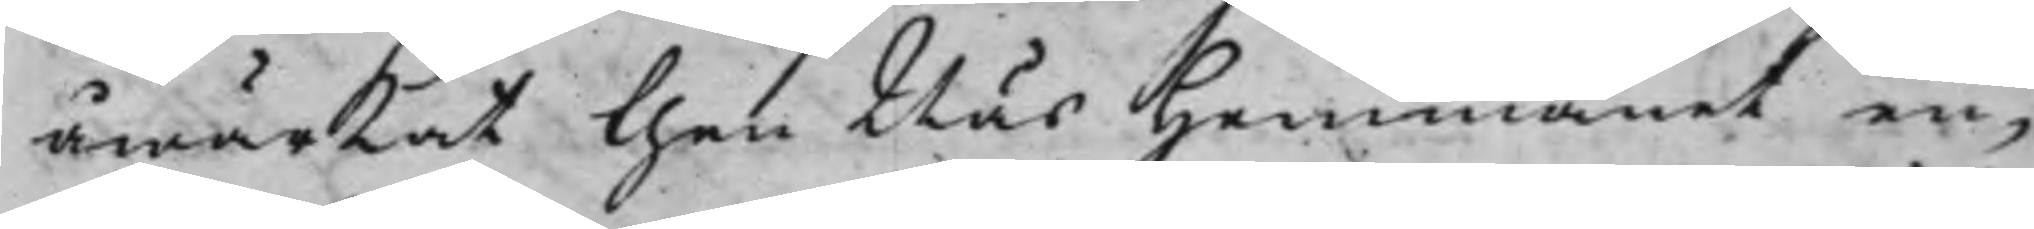åwärkat then Näs Hemmanet en¬
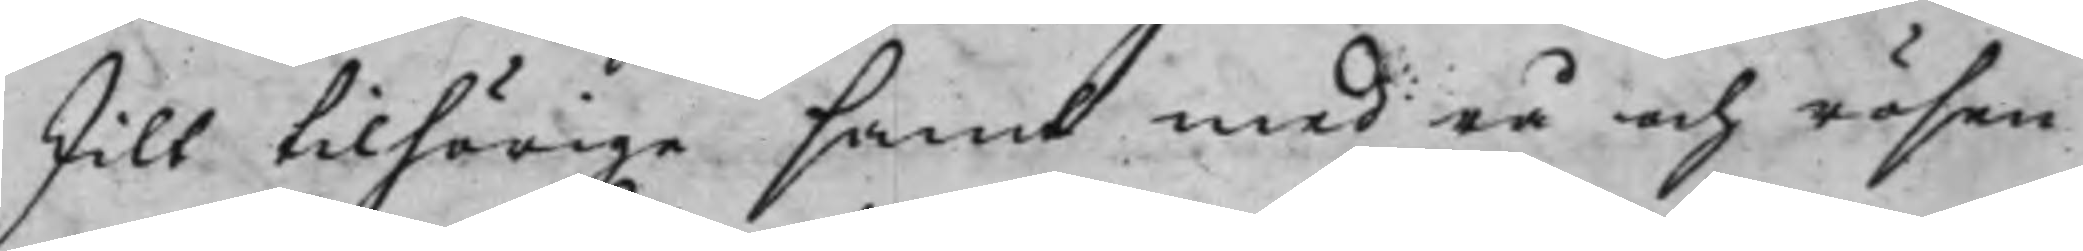skilt tilhörige samt med rå och rösen
